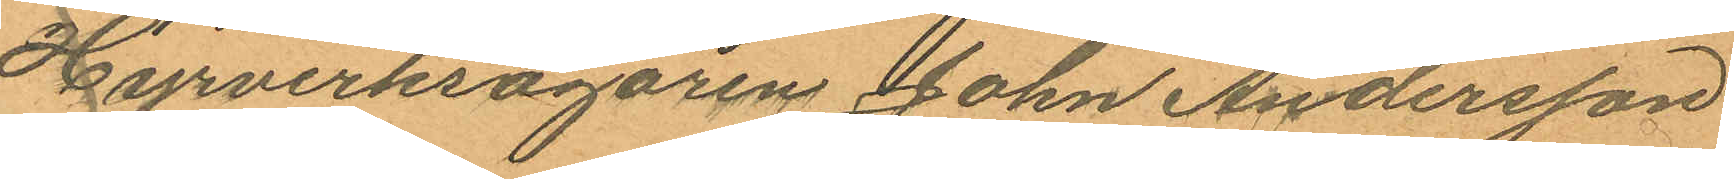Hyrverksägaren John Andersson
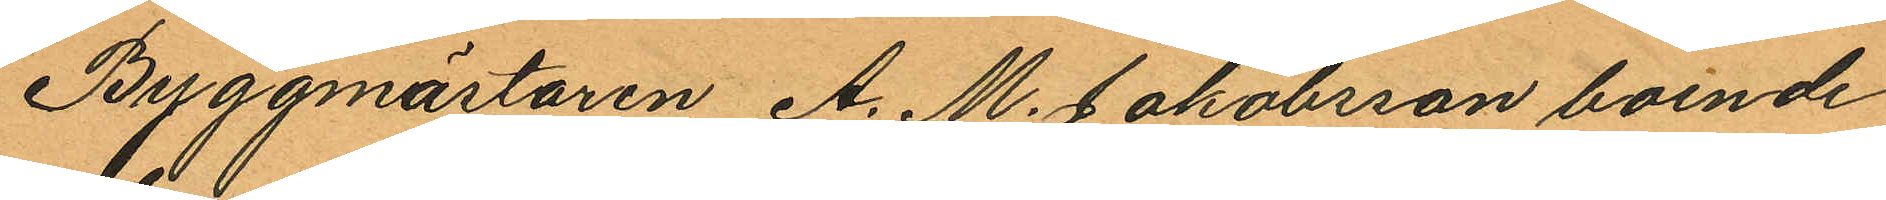Byggmästaren A. M. Jakobsson boende
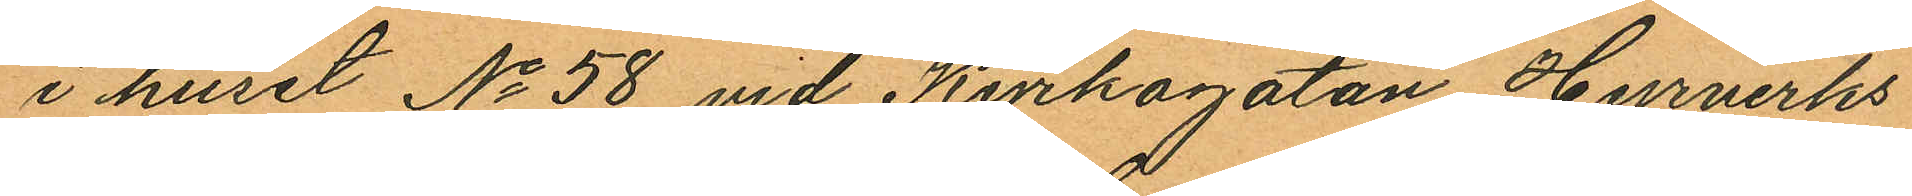i huset No 58 vid Kyrkogatan Hyrverks
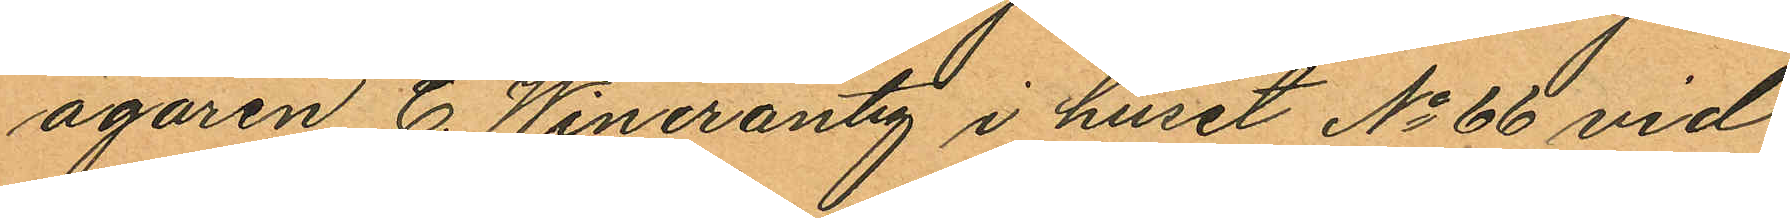ägaren C. Wincrantz i huset No 66 vid
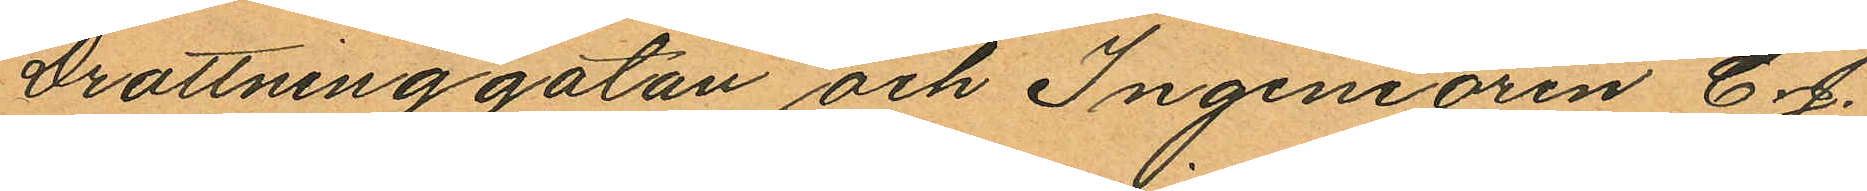Drottninggatan och Ingeniören C. J.
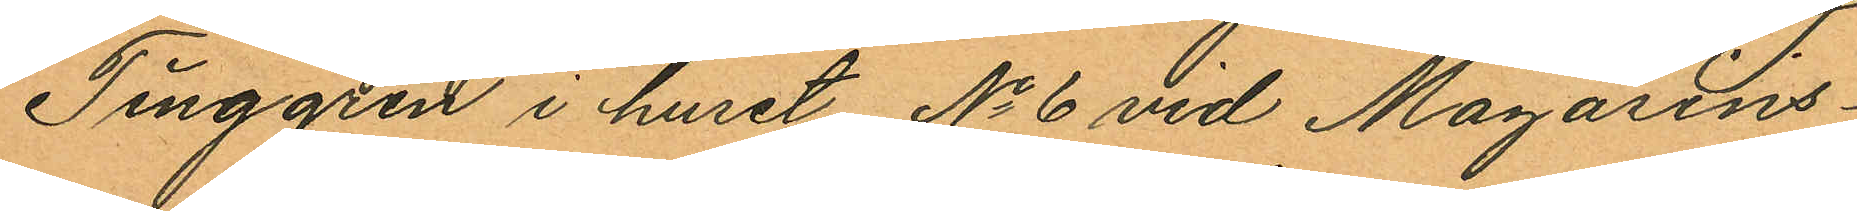Tinggren i huset No 6 vid Magasins¬
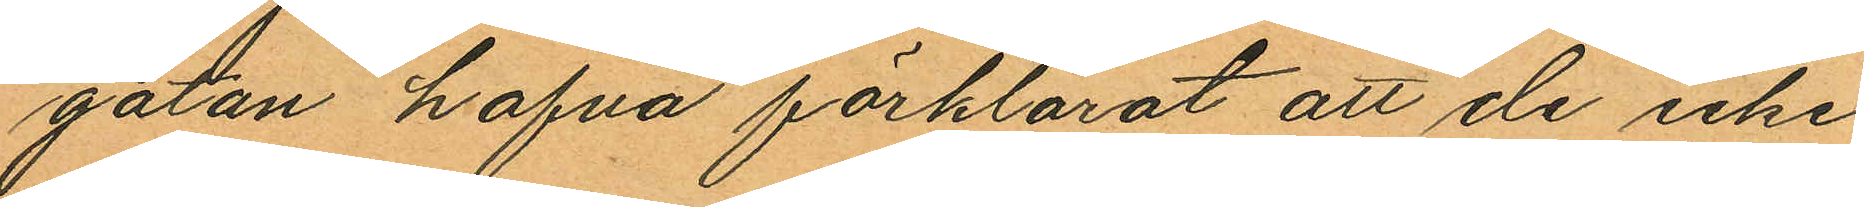gatan hafva förklarat att de icke
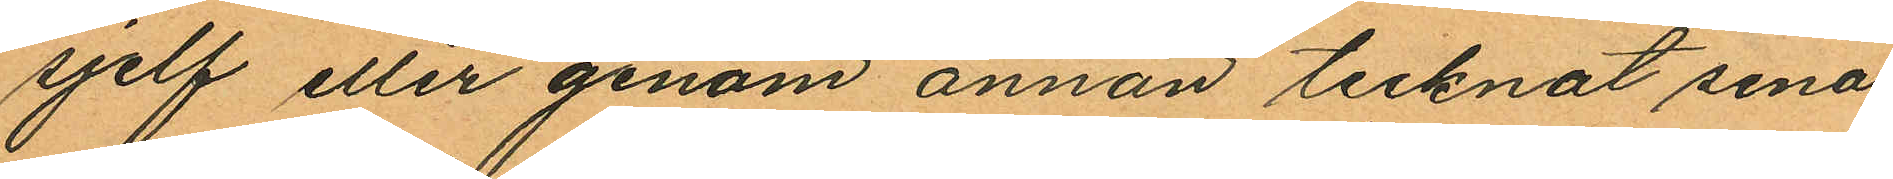sjelf eller genom annan tecknat sina
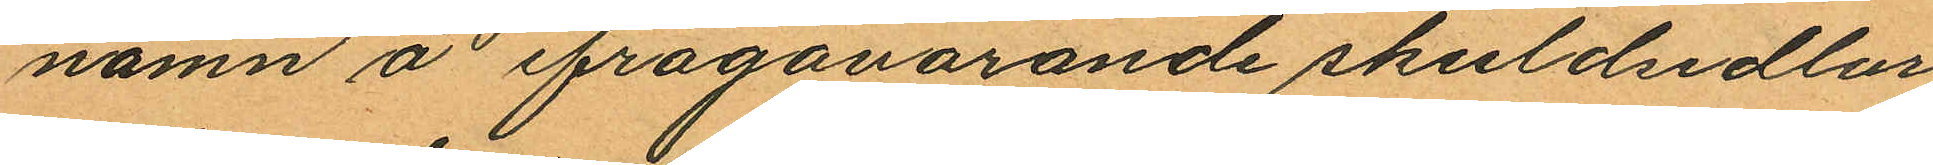namn å ifrågavarande skuldsedlar
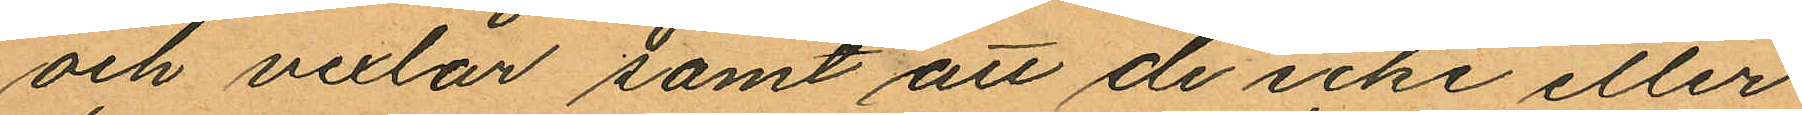och vexlar samt att de icke eller
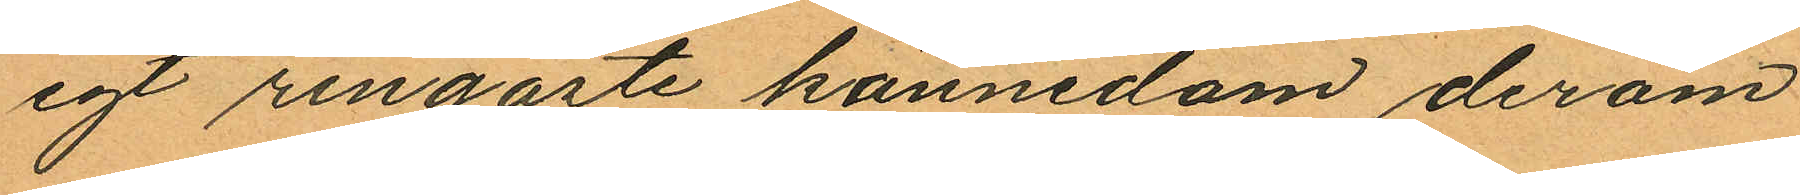egt ringaste kännedom derom
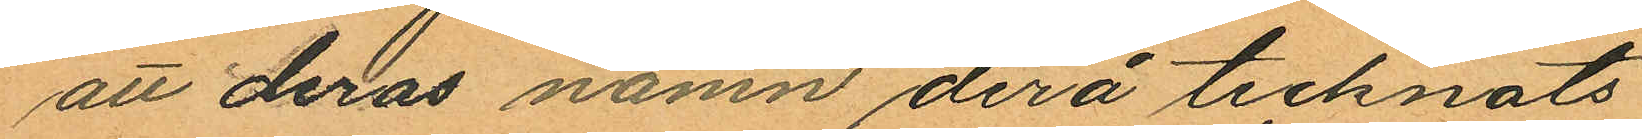att deras namn derå tecknats
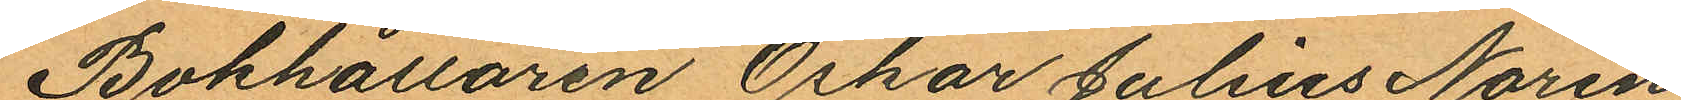Bokhållaren Oskar Julius Norén,
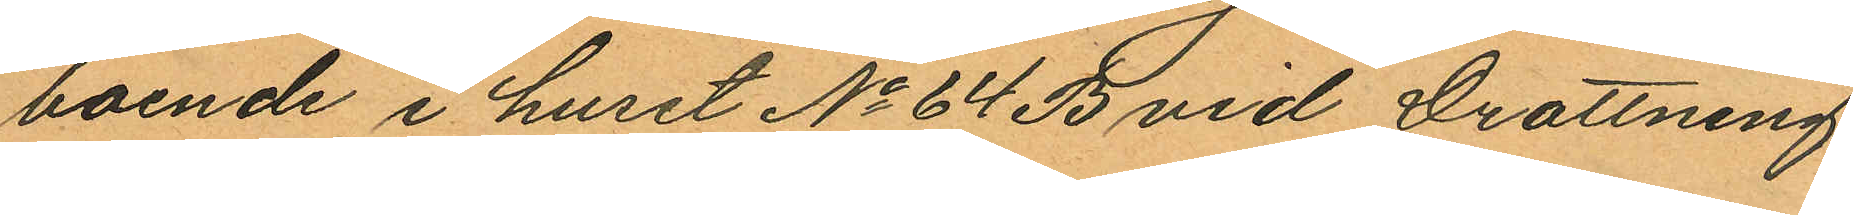boende i huset No 64 B vid Drottning
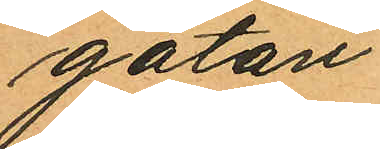gatan
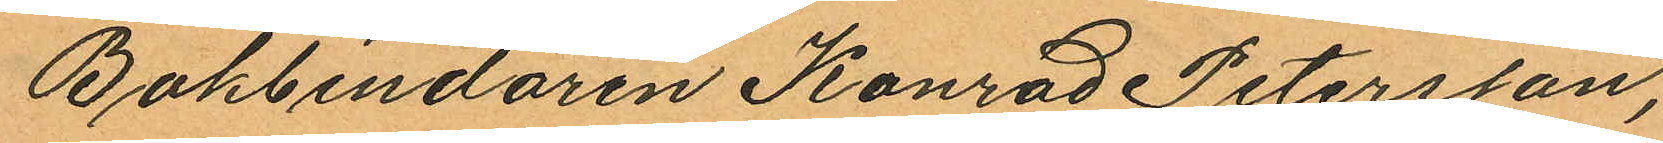Bokbindaren Konrad Petersson,
